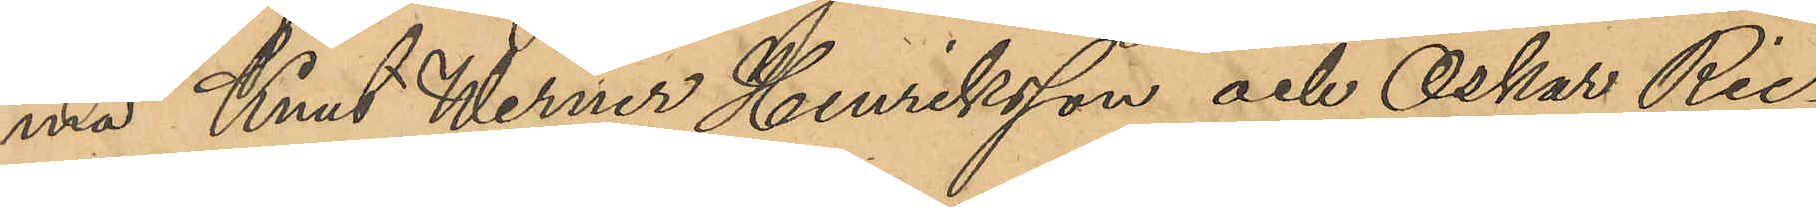ma Knut Werner Henriksson och Oskar Ric¬
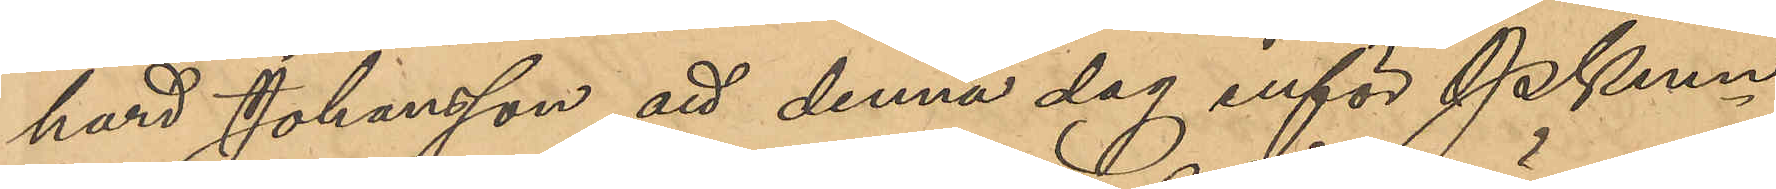kard Johansson att denna dag inför Pkmn
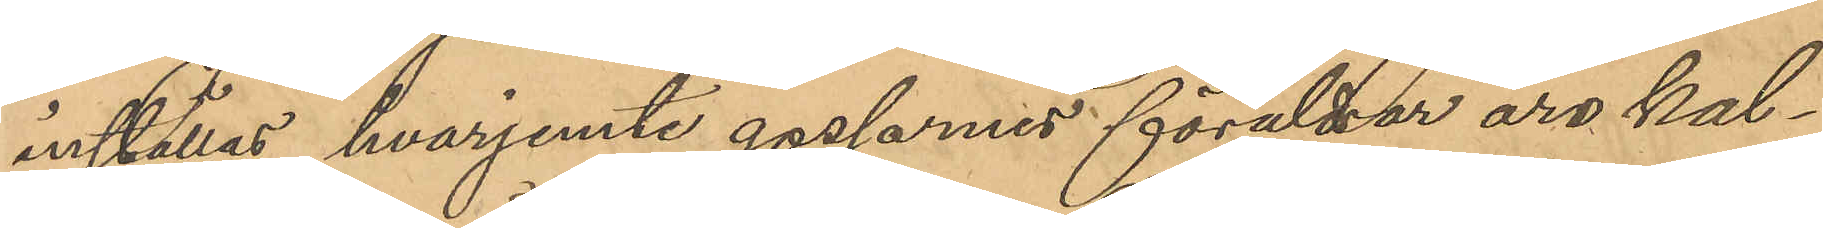inställas, hvarjemte gossarnes föräldrar äro kal¬
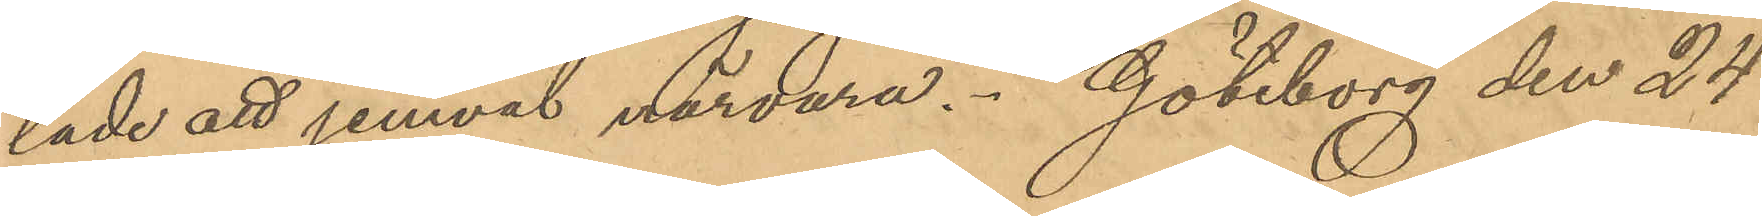lade att jemväl närvara. Göteborg den 24
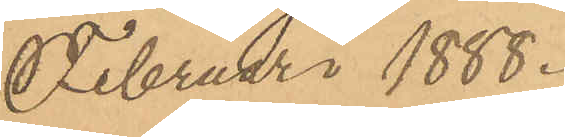Februari 1888.
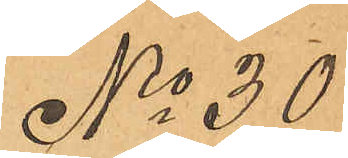No 30
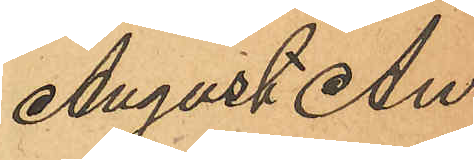August An¬
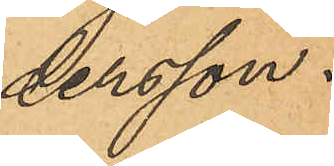dersson.
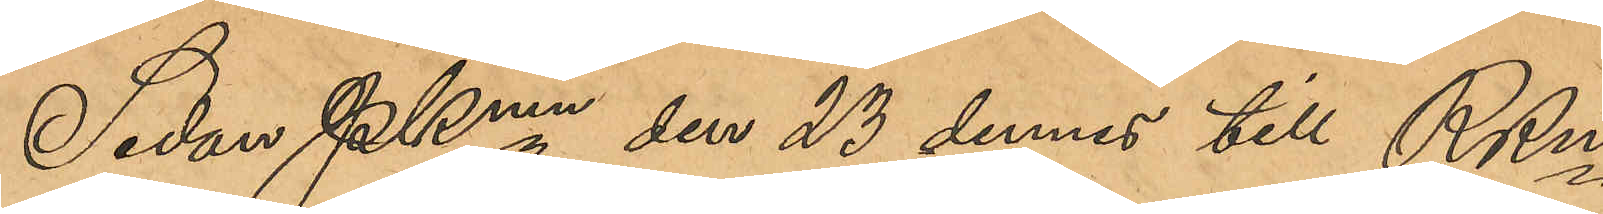Sedan Pkmn den 23 dennes till RRn
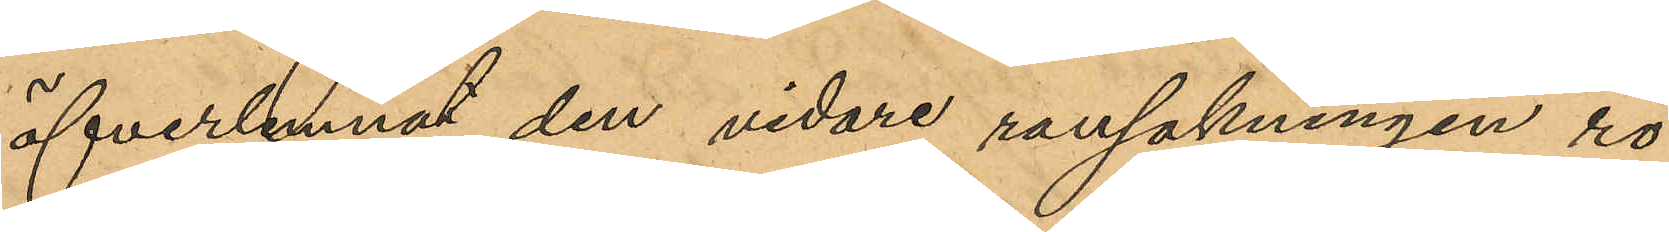öfverlemnat den vidare rannsakningen rö¬
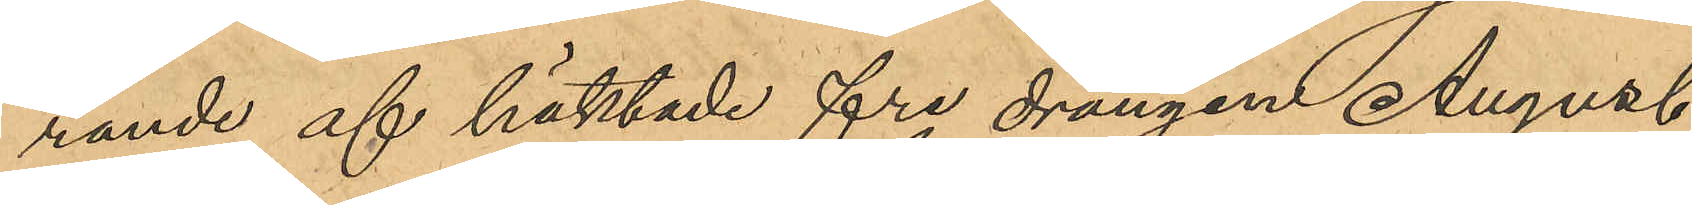rande af häktade fre drängen August
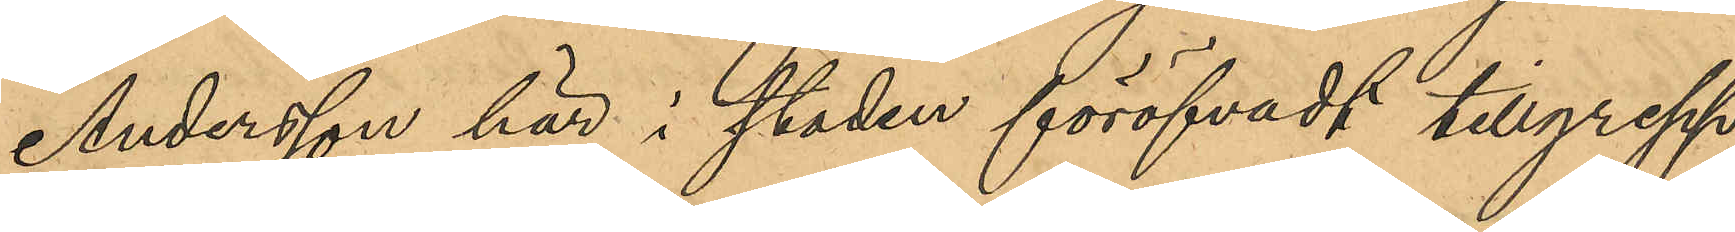Andersson för här i staden föröfvade tillgrepp
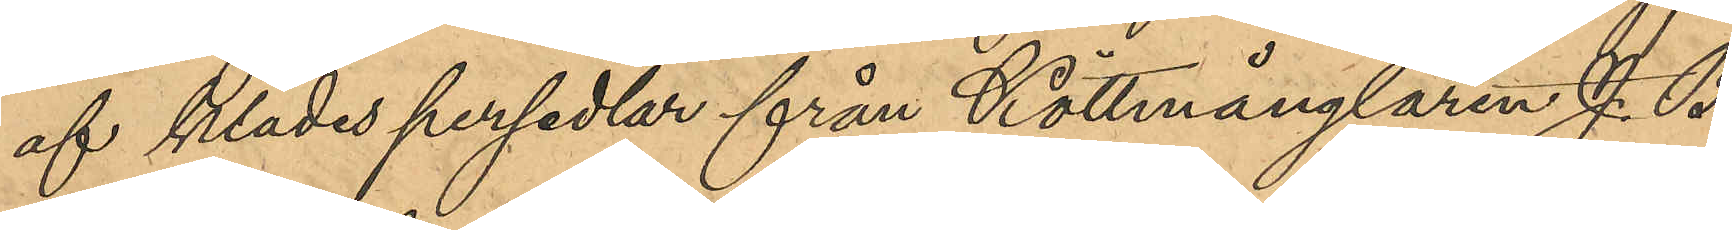af klädespersedlar från Köttmånglaren J. B.
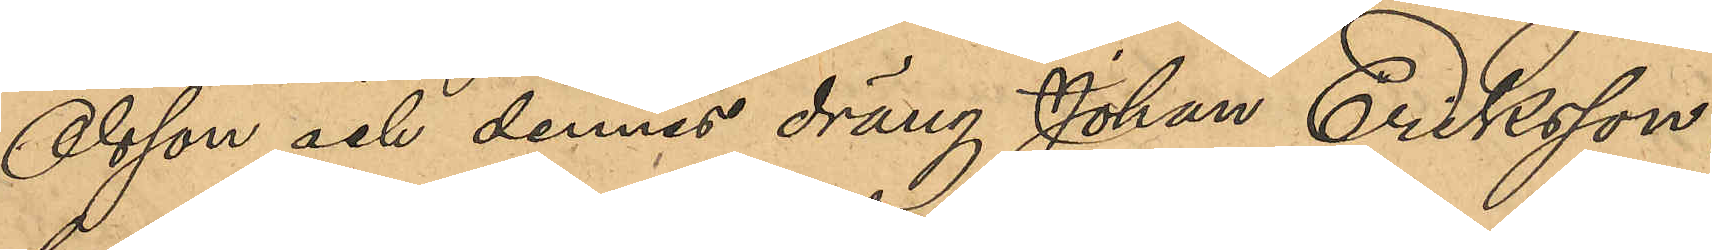Olsson och dennes dräng Johan Eriksson,
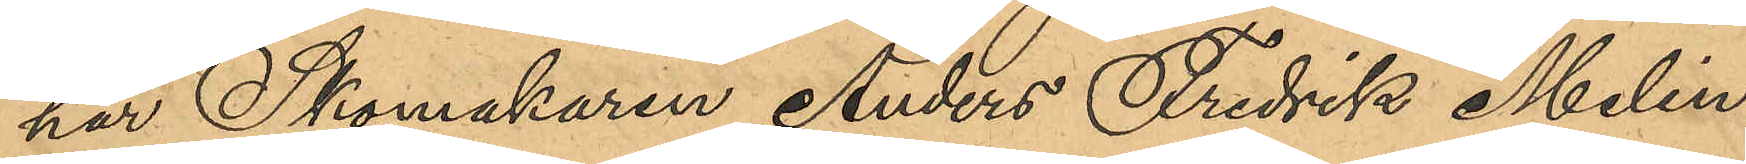har Skomakaren Anders Fredrik Melin
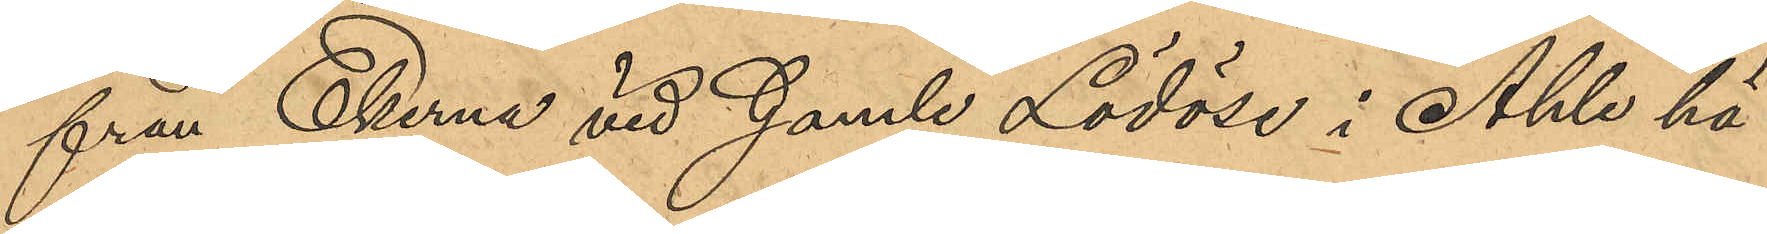från Ekerne vid Gamle Lödöse i Ahle hä¬
